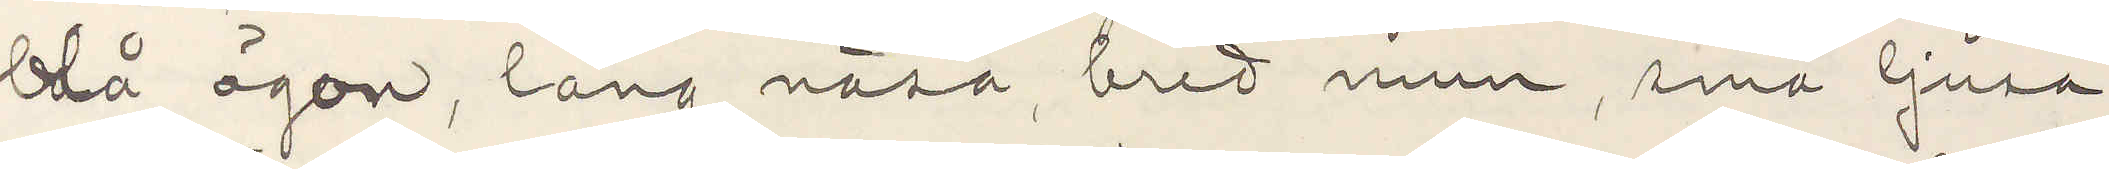blå ögon, lång näsa, bred mun, små ljusa
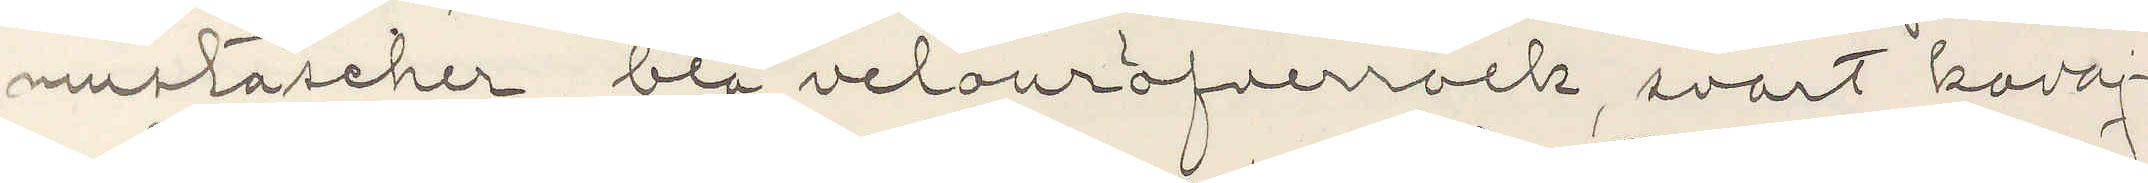mustascher, blå velouröfverrock, svart kavaj¬
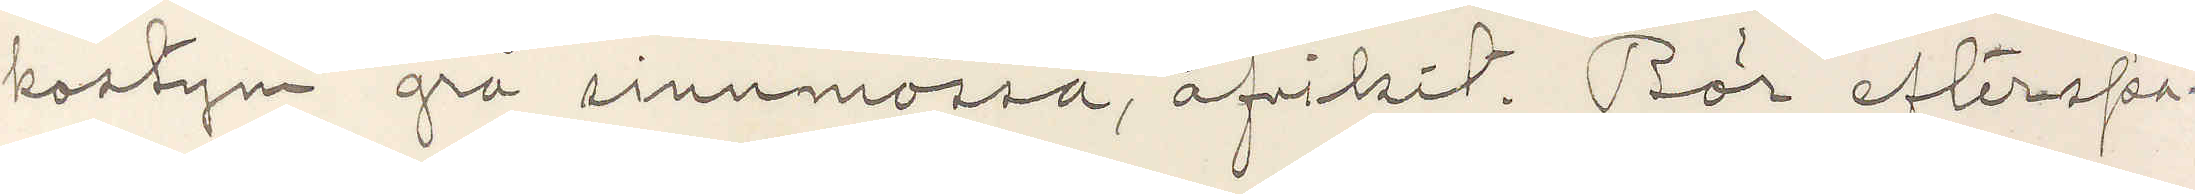kostym grå sinnmössa, afvikit. Bör efterspa¬
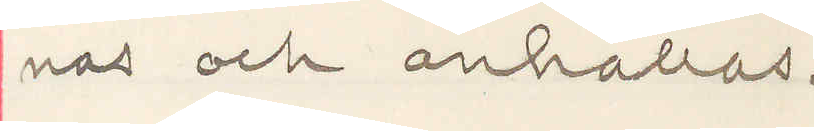nas och anhållas.
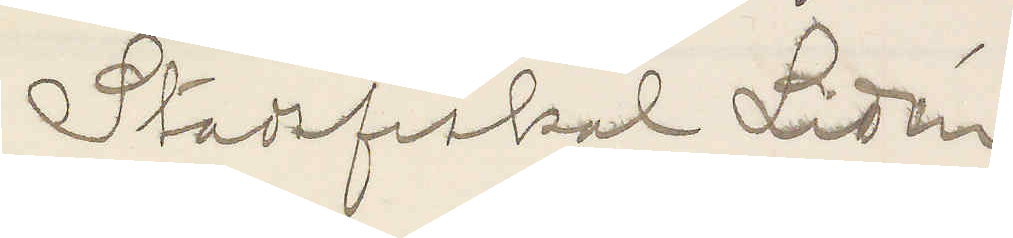Stadsfiskal Lidén
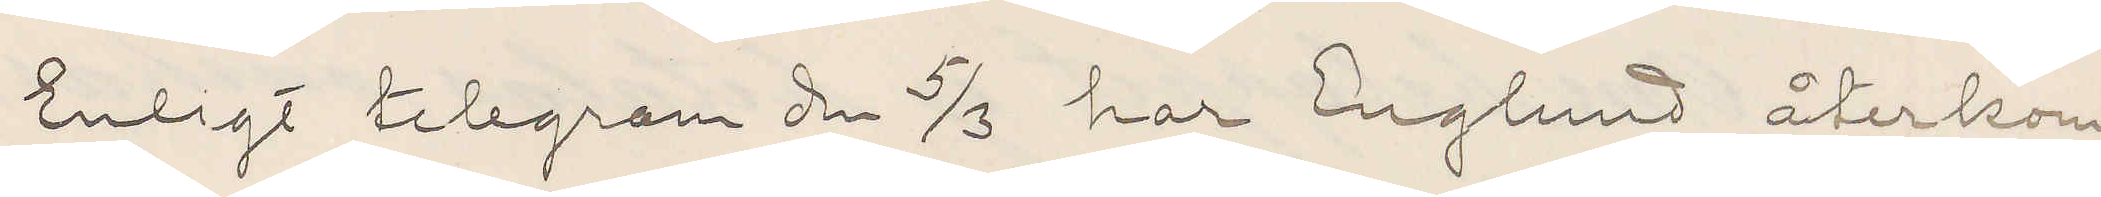Enligt telegram den 5/3 har Englund återkom¬
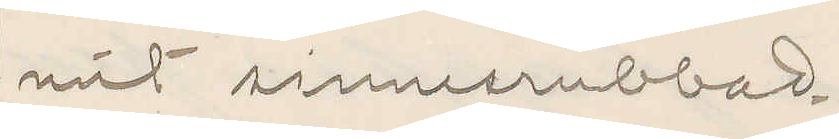mit sinnesrubbad.
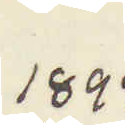1897
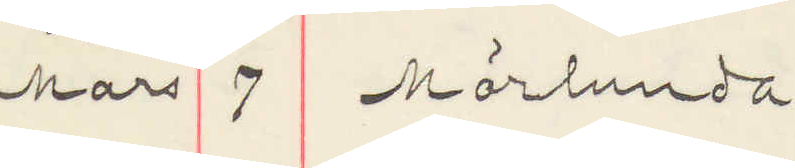Mars 7 Mörlunda
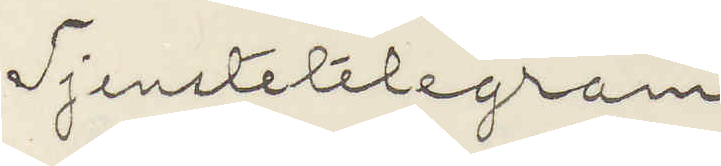Tjenstetelegram
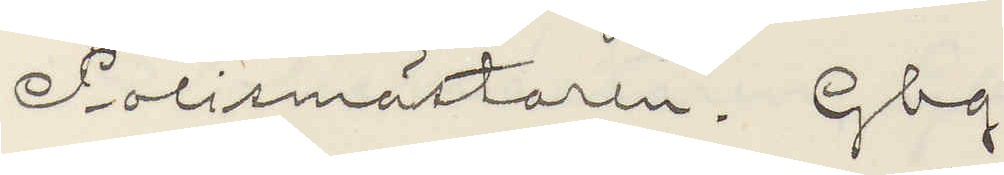Polismästaren. Gbg.
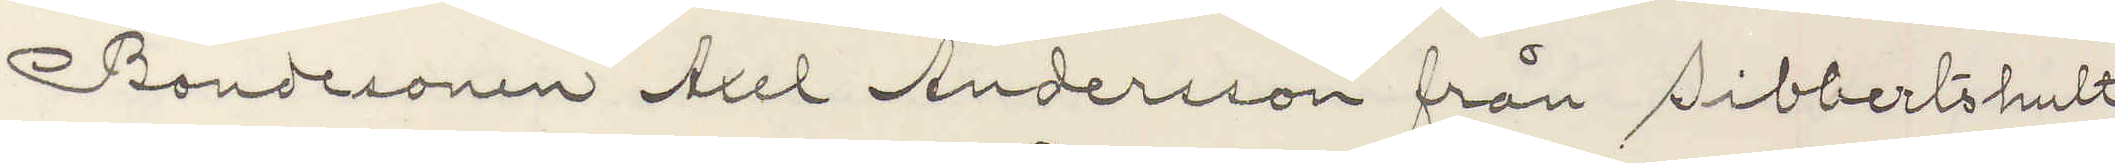Bondesonen Axel Andersson från Sibbertshult
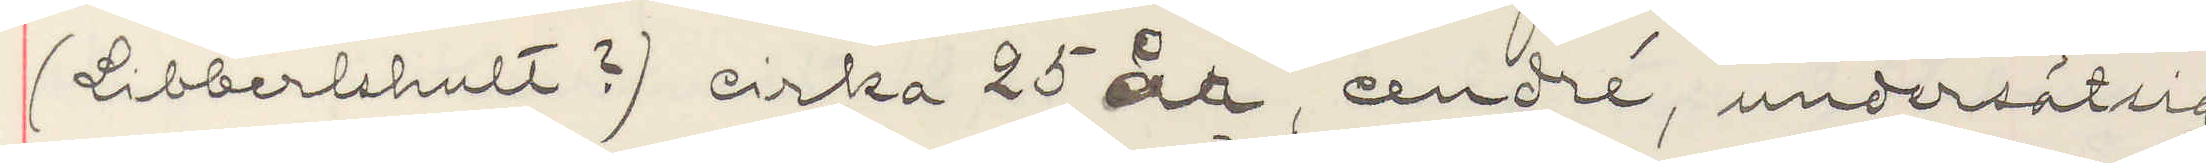(Libbertshult?) cirka 25 år, cendré, undersätsig
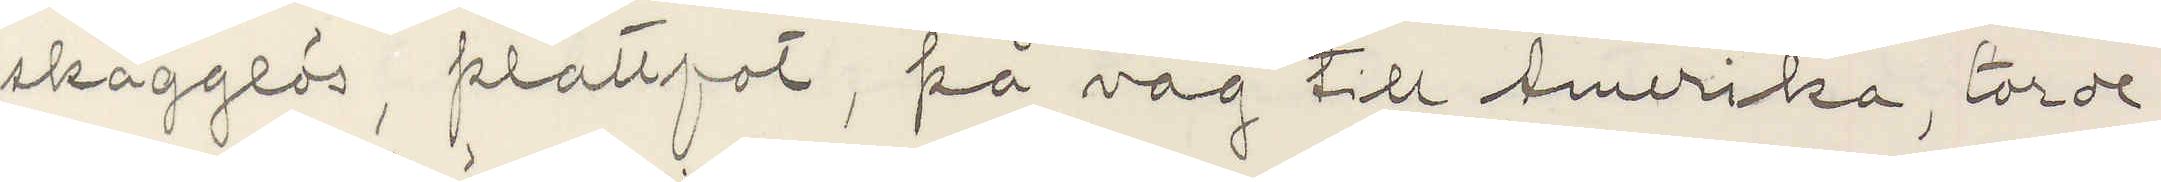skägglös, plattfot, på väg till Amerika, torde
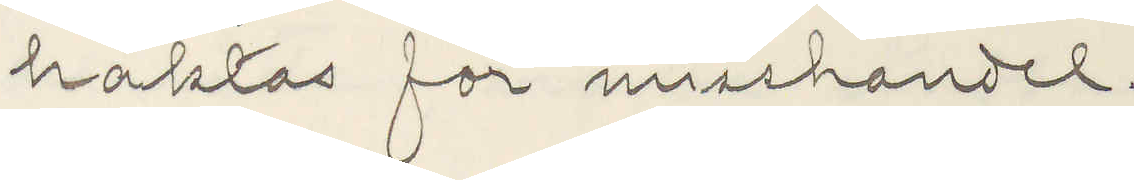häktas för misshandel.
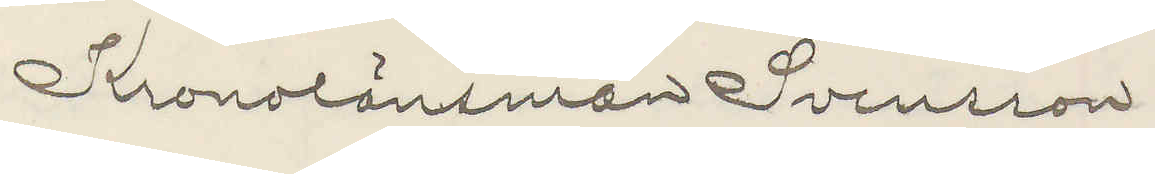Kronolänsman Svensson
